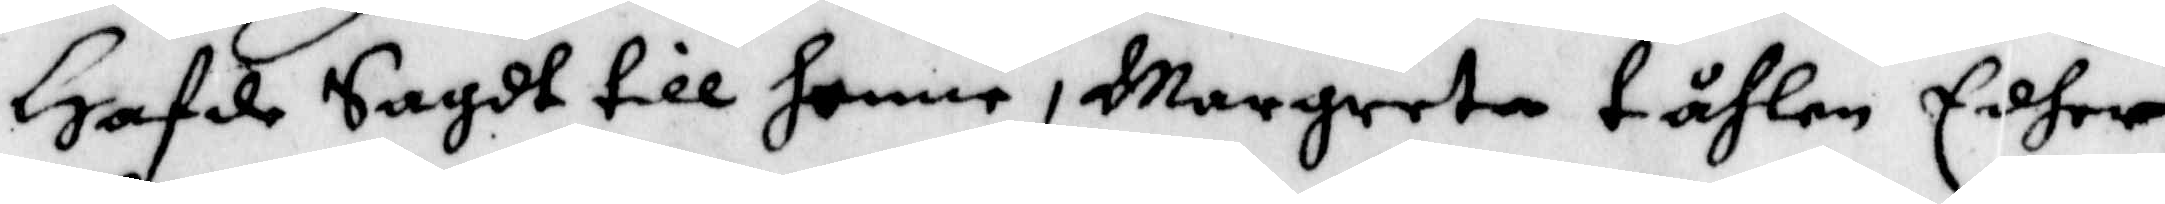Hafde Sagdt till henne, Margreta tåhlen Edher,
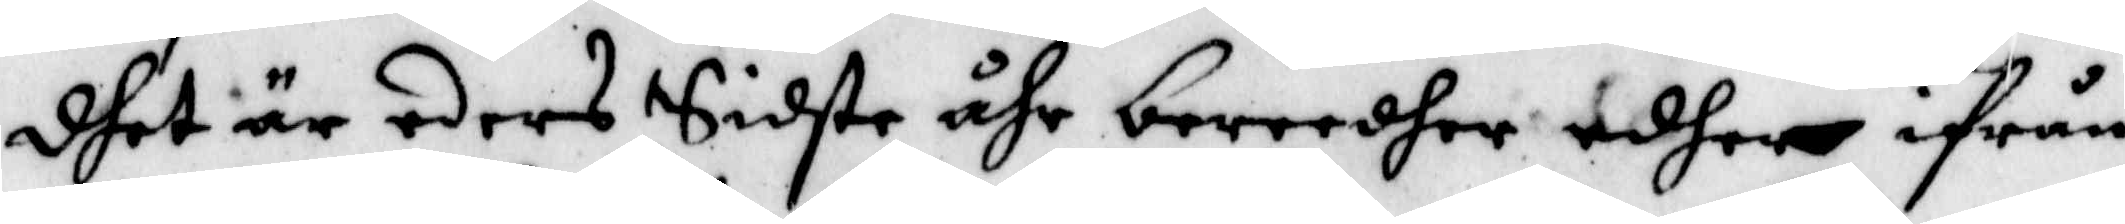dhet är eders Sidste åhr bereedher edher ifrån
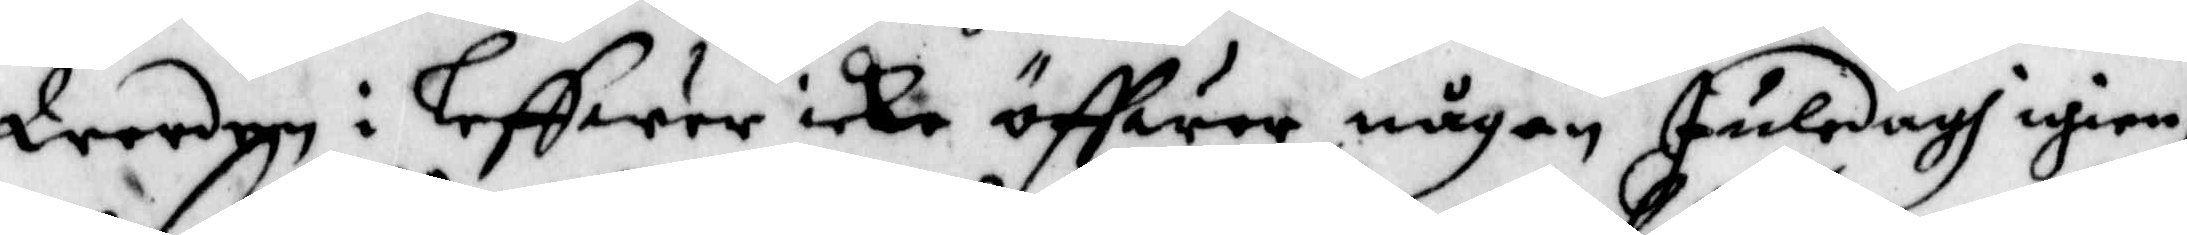Werden i leffwer icke öffwer någon juledagh igien,
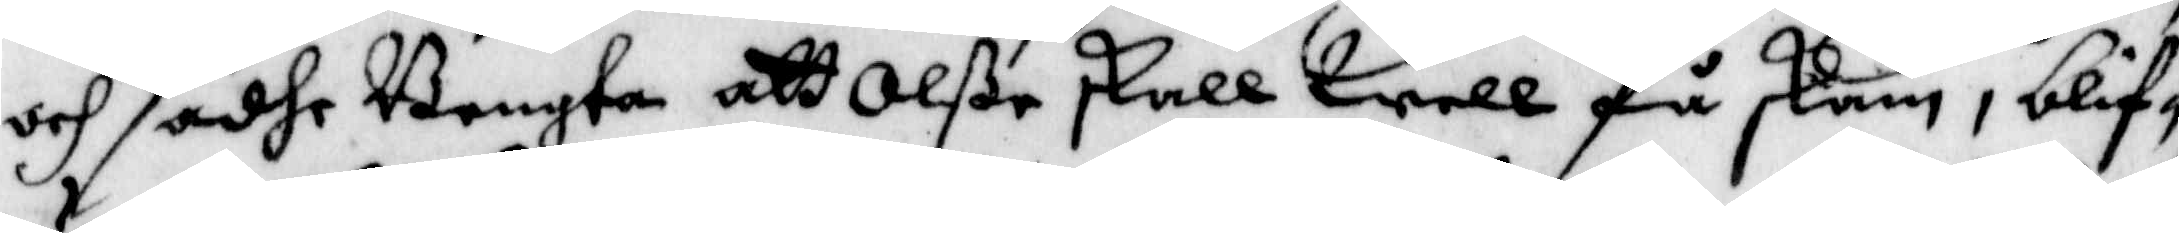och sadhe Bengta att Olße skall Well få skam, blif¬
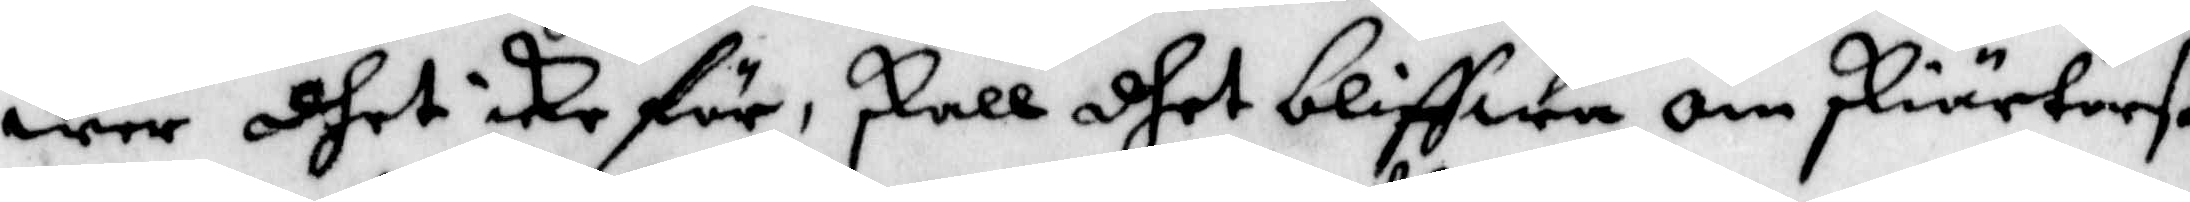wer dhet icke för, skall shet bliffwa om skiärtorß¬
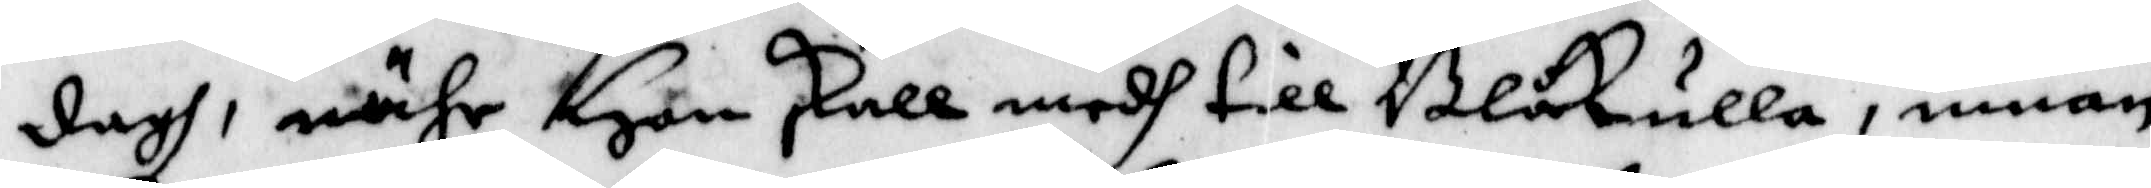dagh, nähr Hon skall medh till Blåkulla, innan
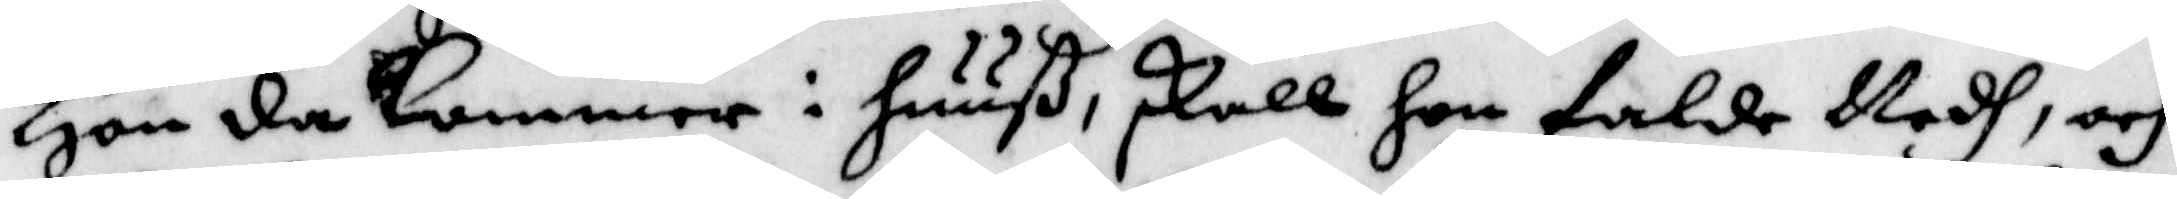Hon da kommer i huuß skall hon falde Nedh, och
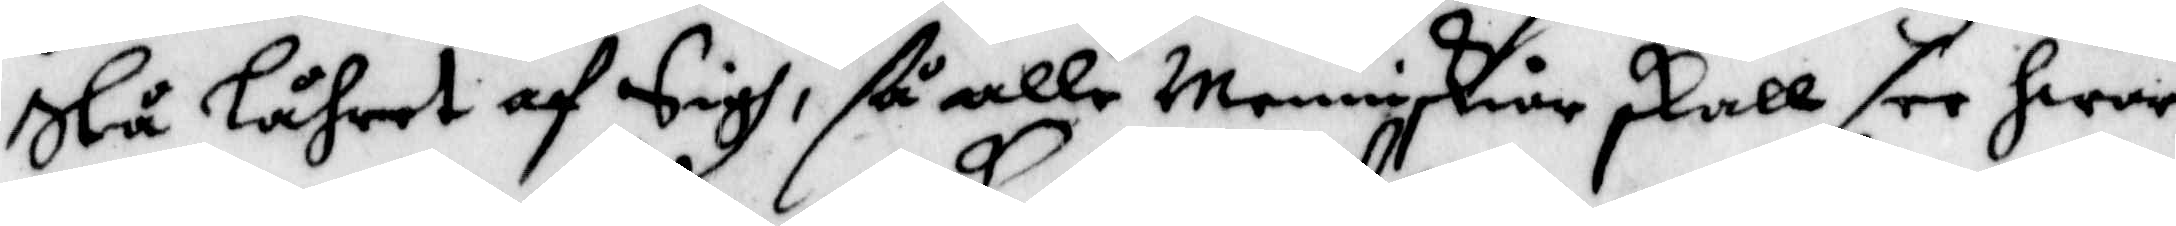Slå låhret af Sigh, så alle Menniskior skall see hwar
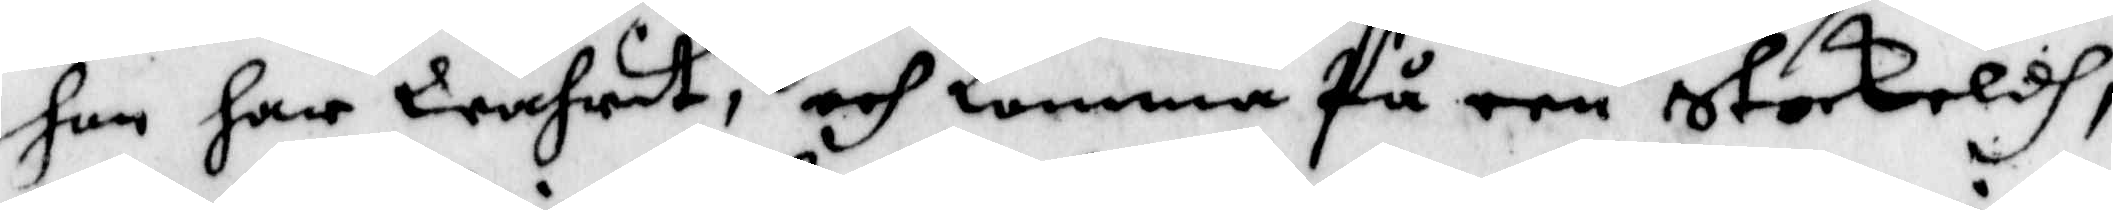hon har Wahrit, och komma På een Stockrldh,
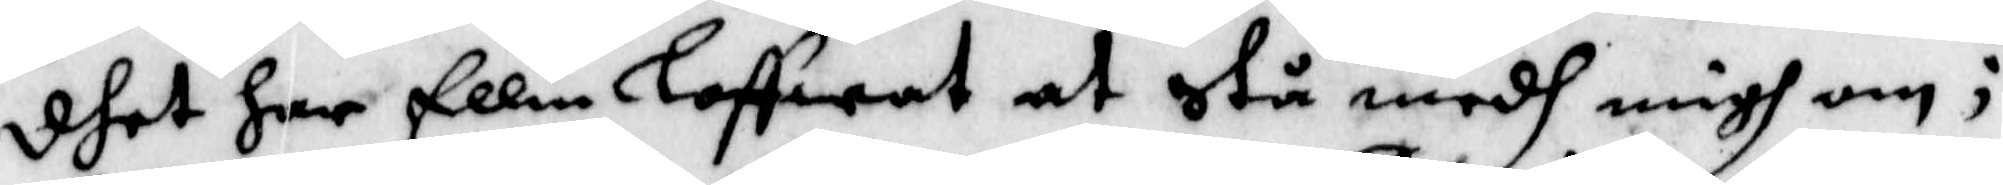dhet har Ellin loffwat at stå medh migh om;
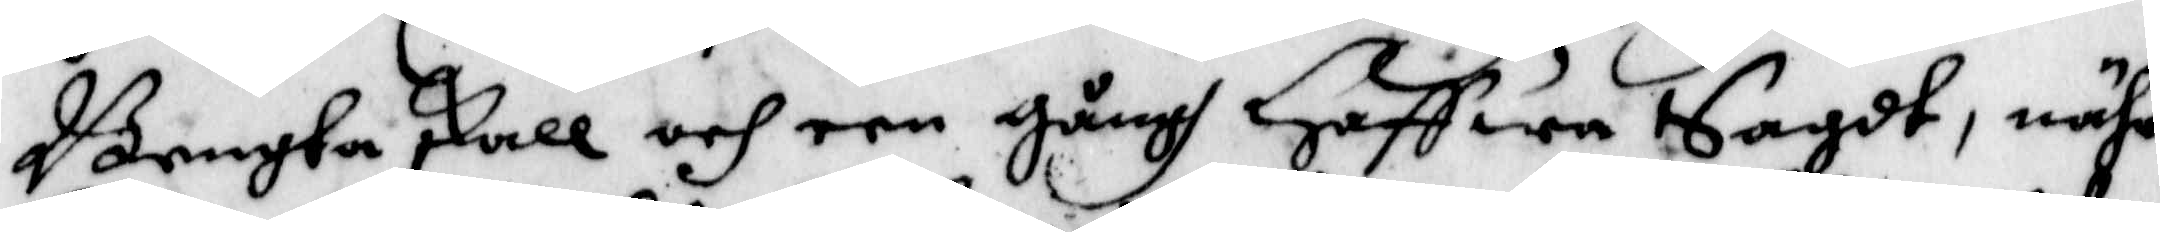Bengta skall och een gångh Haffwa Sagdt, nähr
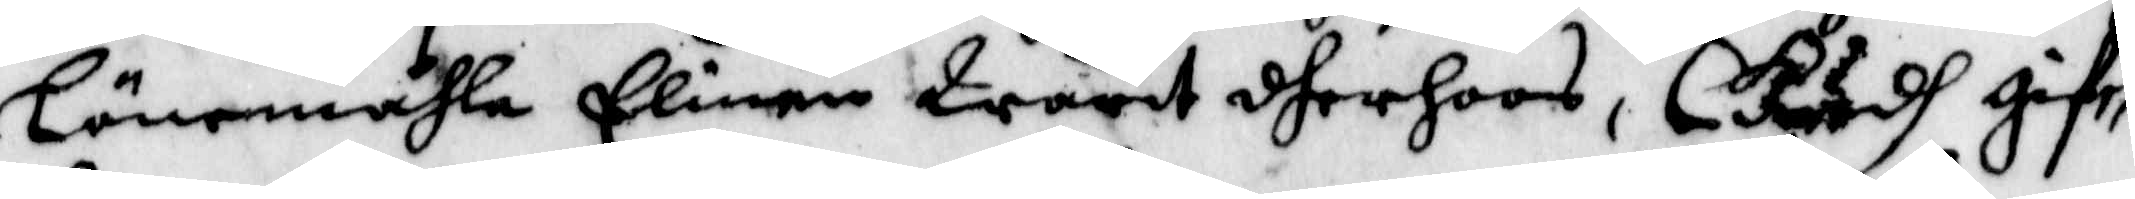Löme,åhla Elinen Warit dher hoos, Gudh gif¬
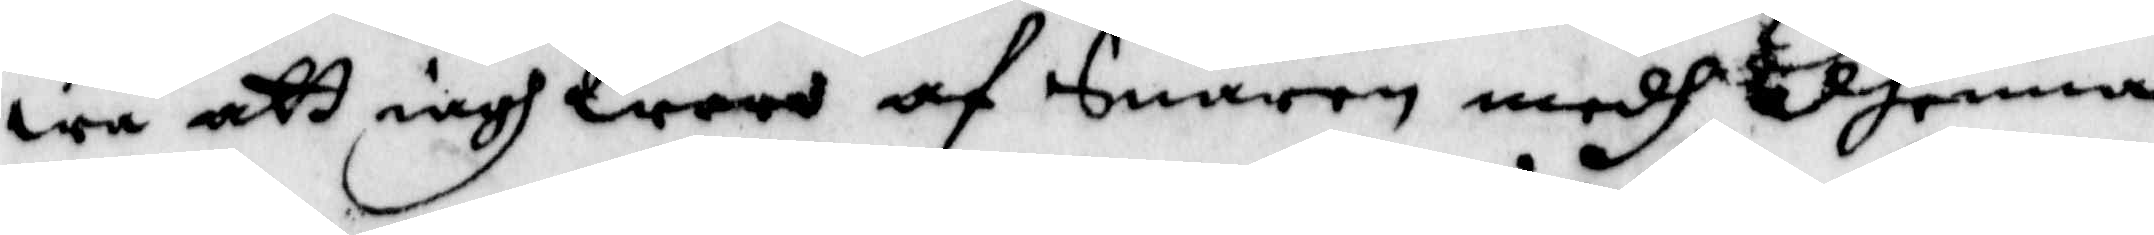wa att iagh Woro af Snaren medh dhenna
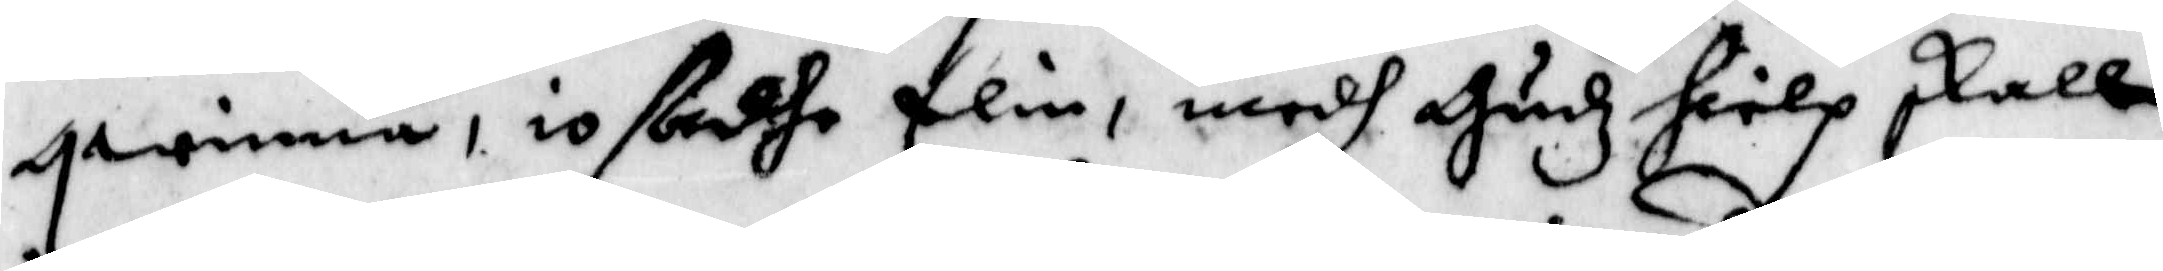qwinna, io ßadhe Elin, medh Hudz hielp skall
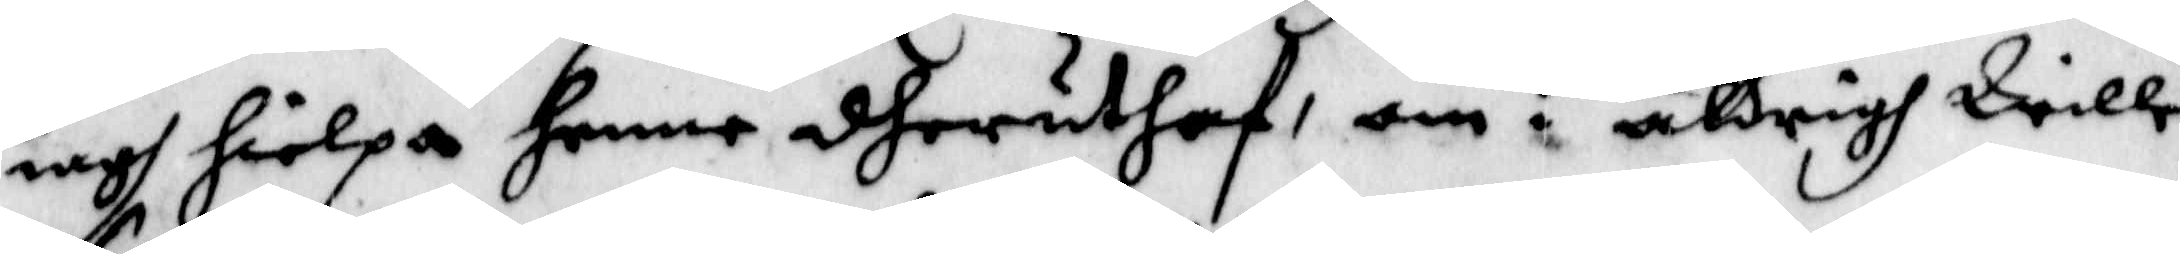iagh hielpa henne dheruthaf, om i aldrigh Wille
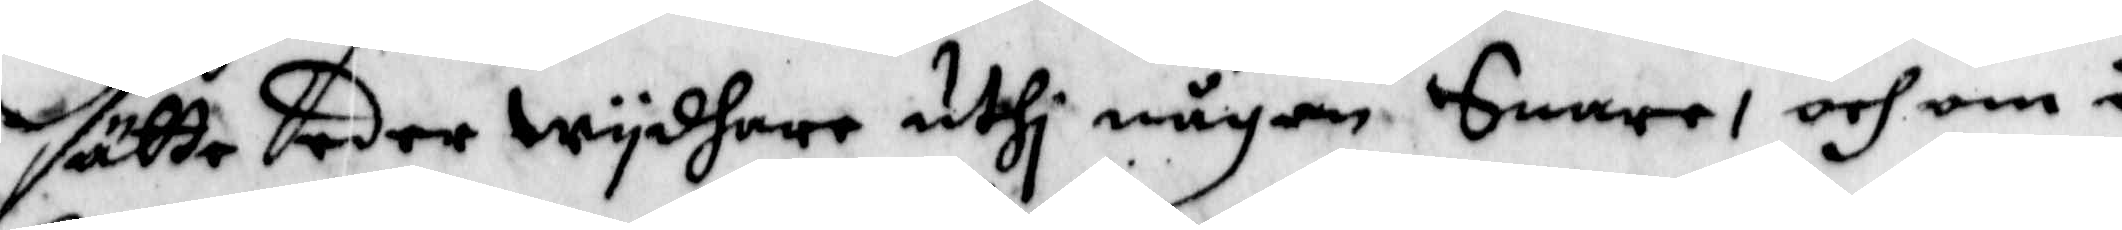sätta eder wydhare uthi någon Snare, och om i
